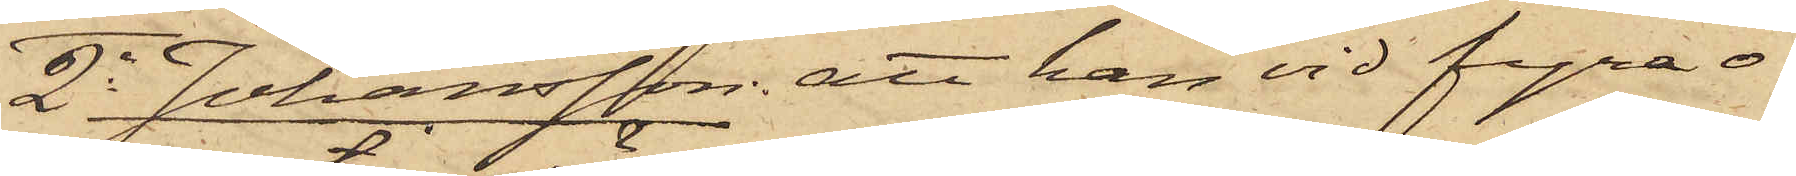2o Johansson: att han vid fyra o¬
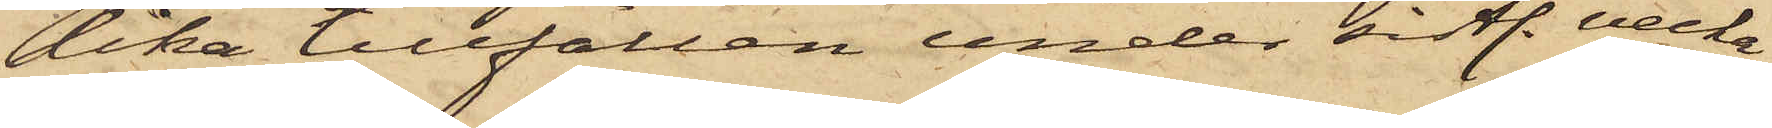lika tillfällen under sistl. vecka
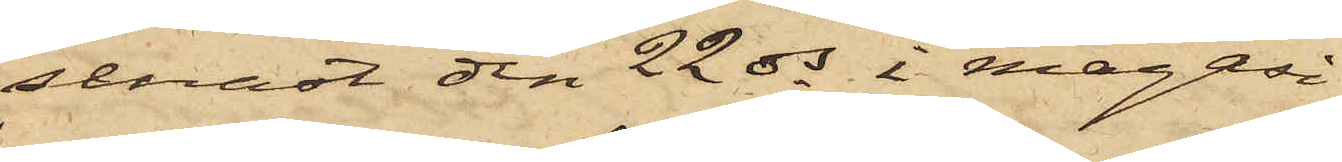senast den 22 ds i magasi¬
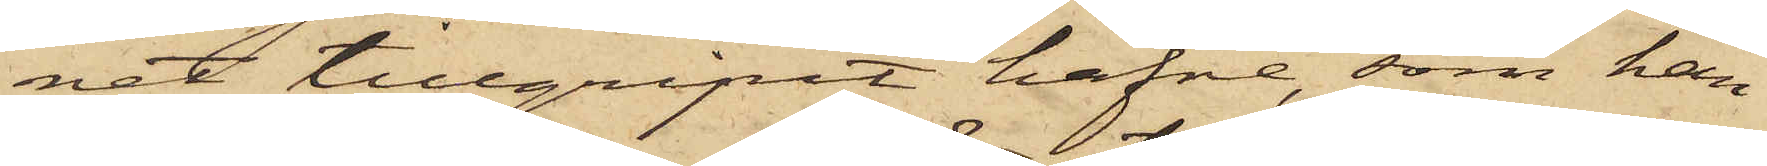net tillgripit hafre, som han
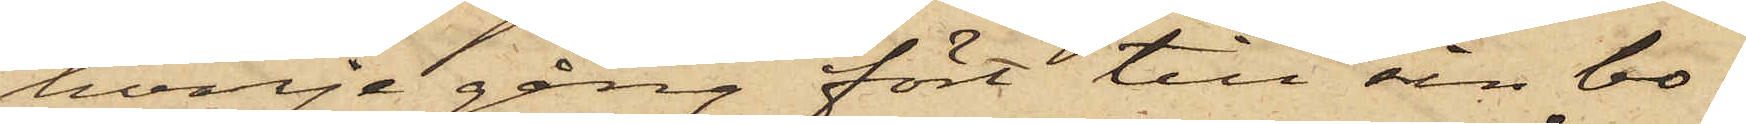hvarje gång fört till sin bo¬
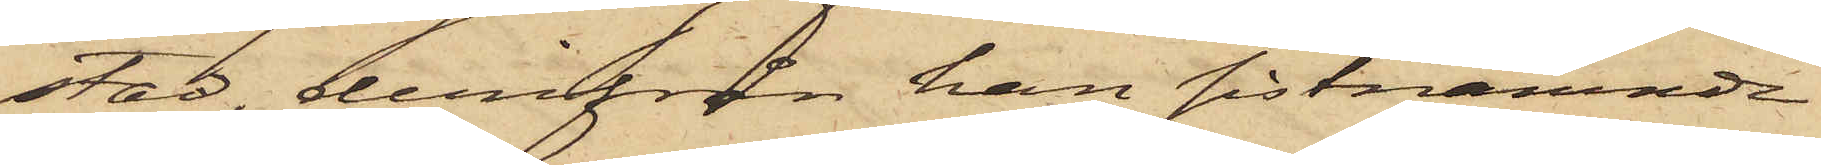stad, derifrån han sistnämnde
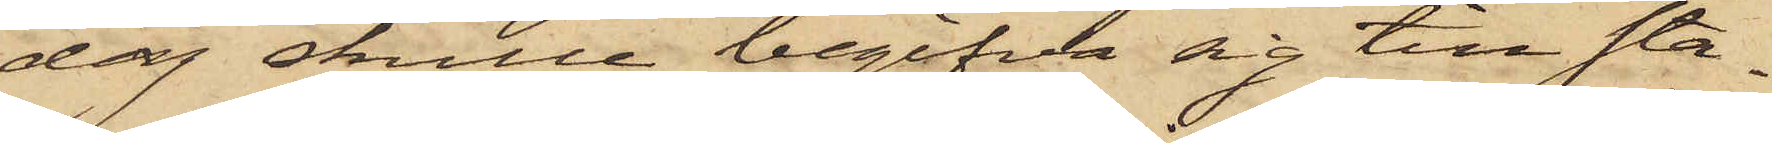dag skulle begifva sig till sta¬
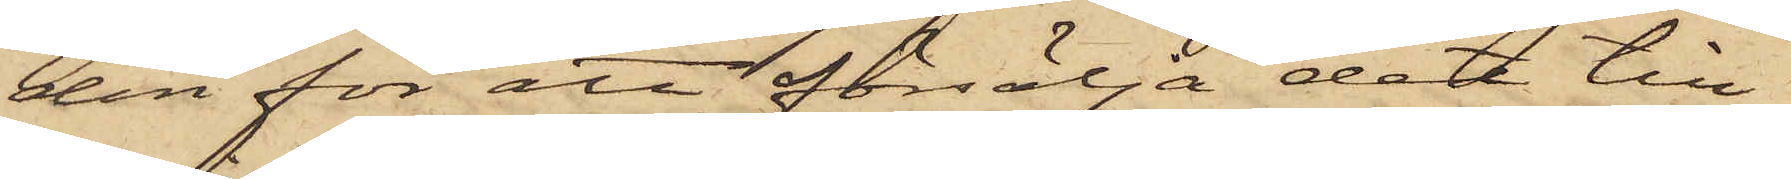den för att försälja det till¬
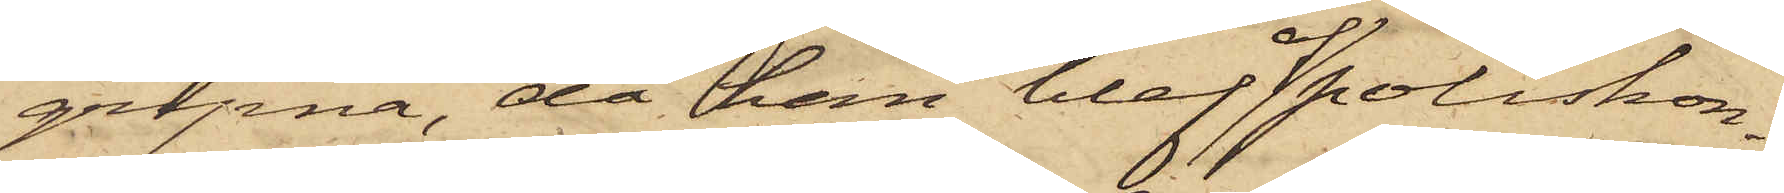gripna, då han blef af poliskon¬
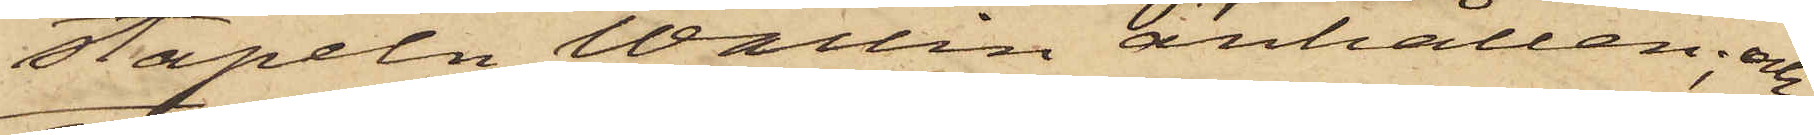stapeln Wallin anhållen; och
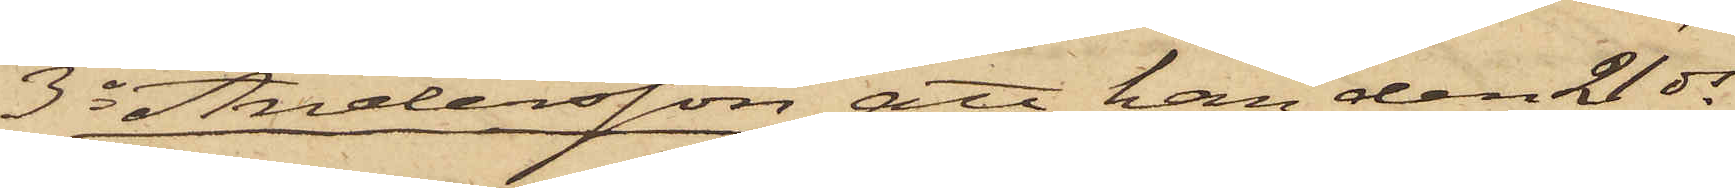3o Andersson att han den 21 ds
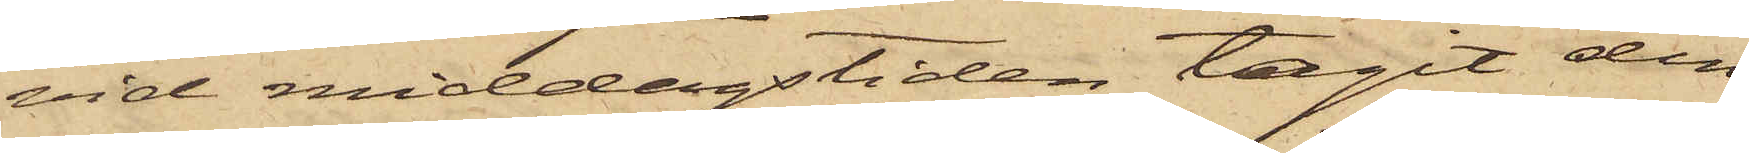vid middagstiden tagit den
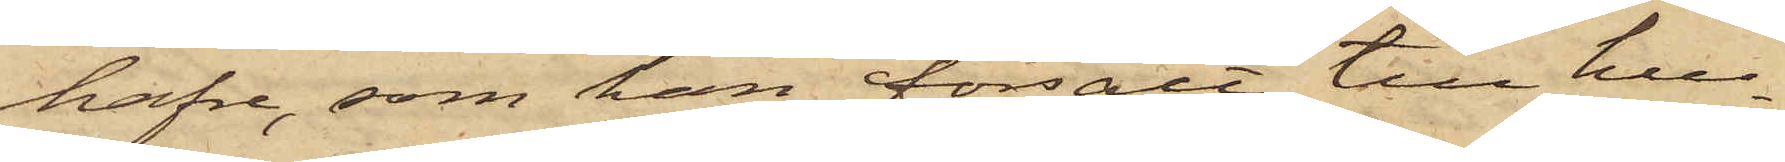hafre, som han försålt till hus¬
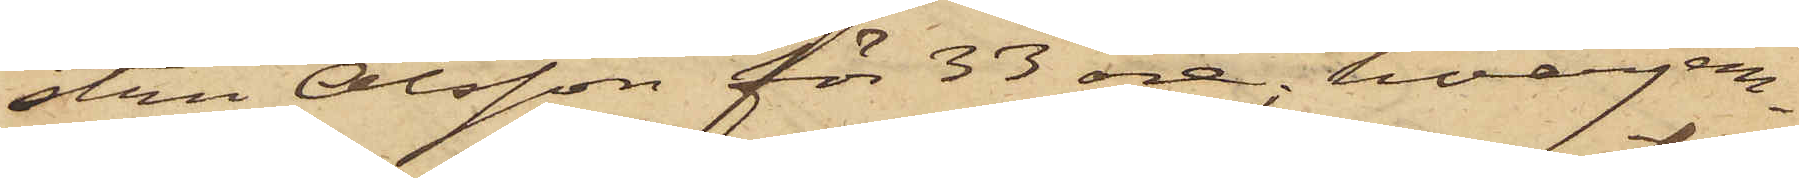stru Olsson för 33 öre; hvarjem¬
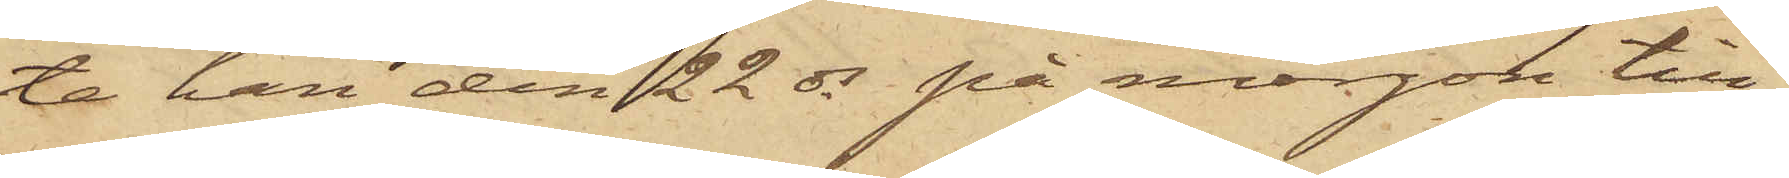te han den 22 ds på morgon till¬
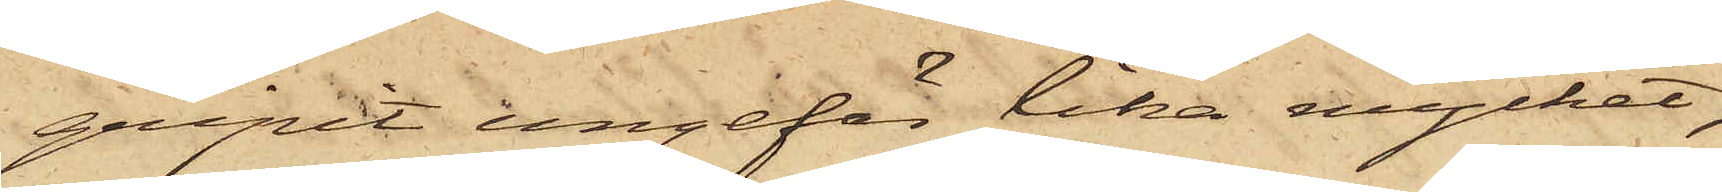gripit ungefär lika mycket,
